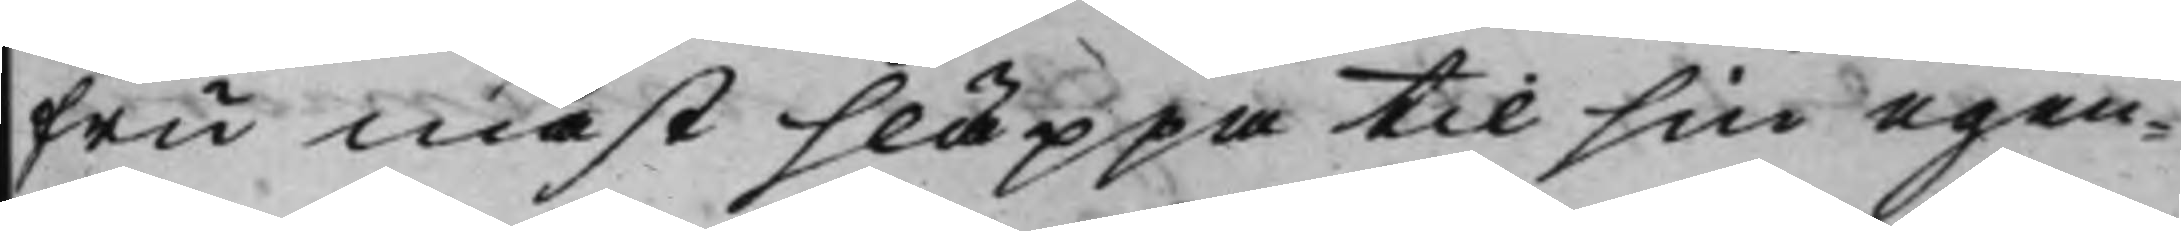Fru måst släppa til sin egen¬
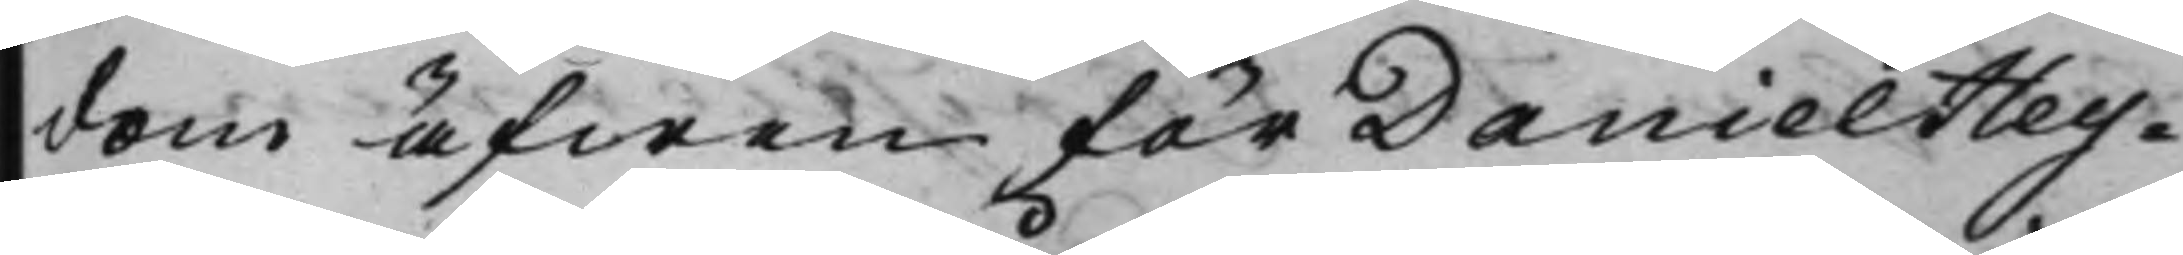dom äfwen för Daniel Hey¬
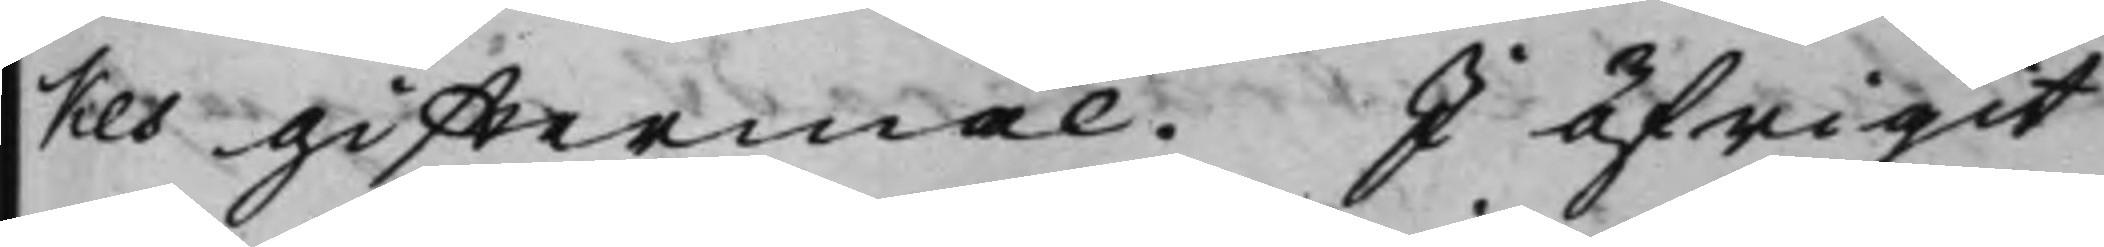kes gifftermål. I öfrigit
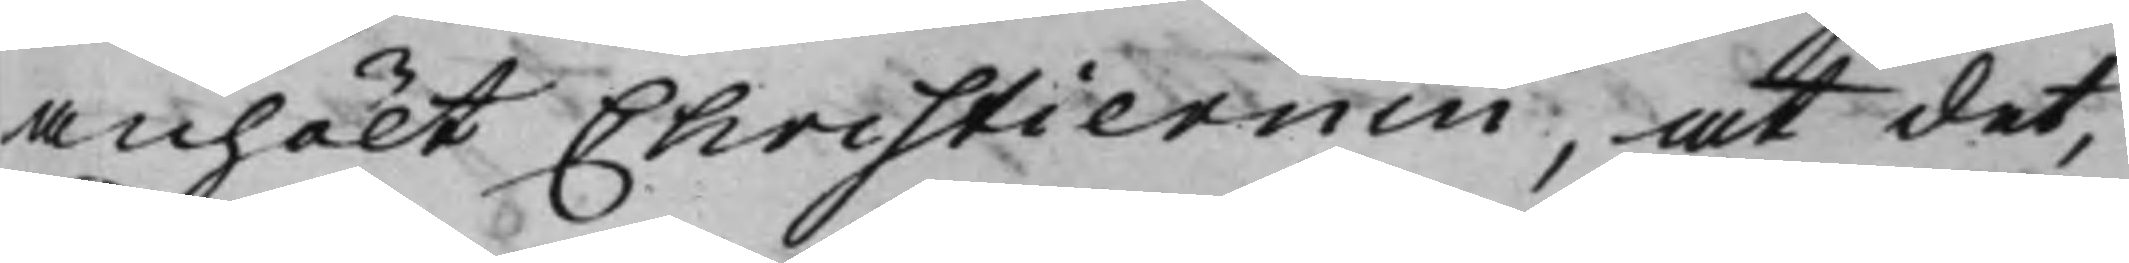anhölt Christiernin, at det,
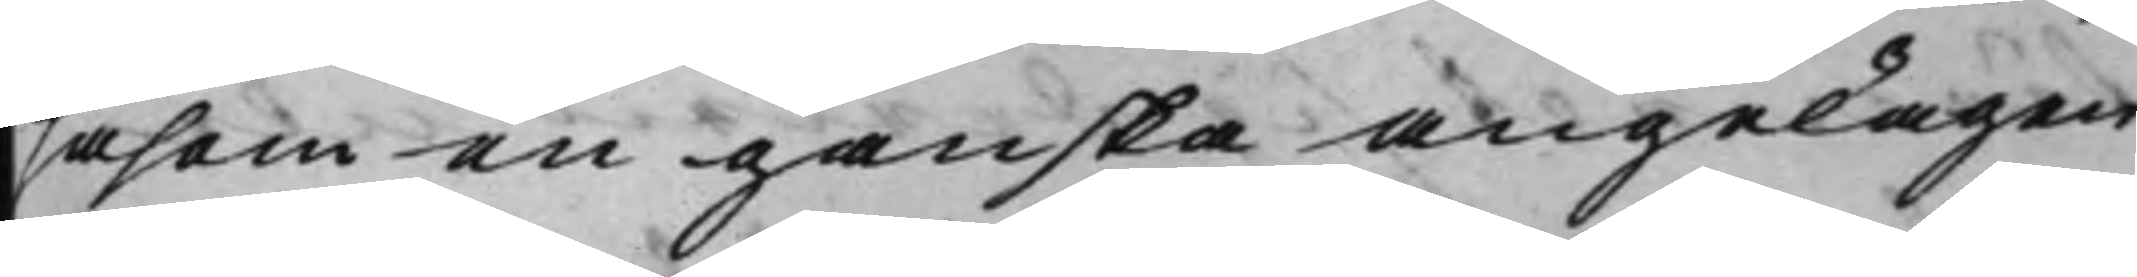såsom en ganska angelägen
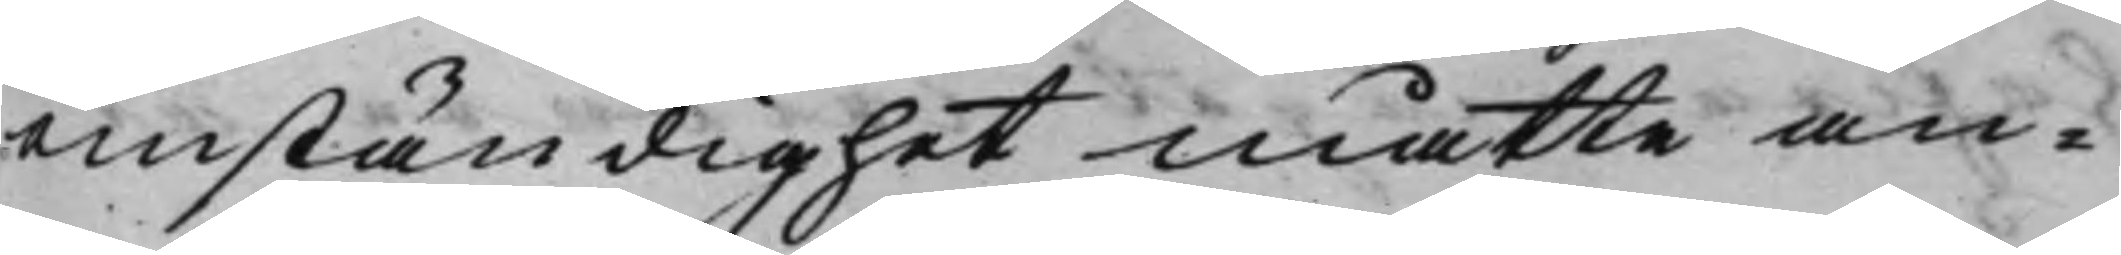omständighet måtte an¬
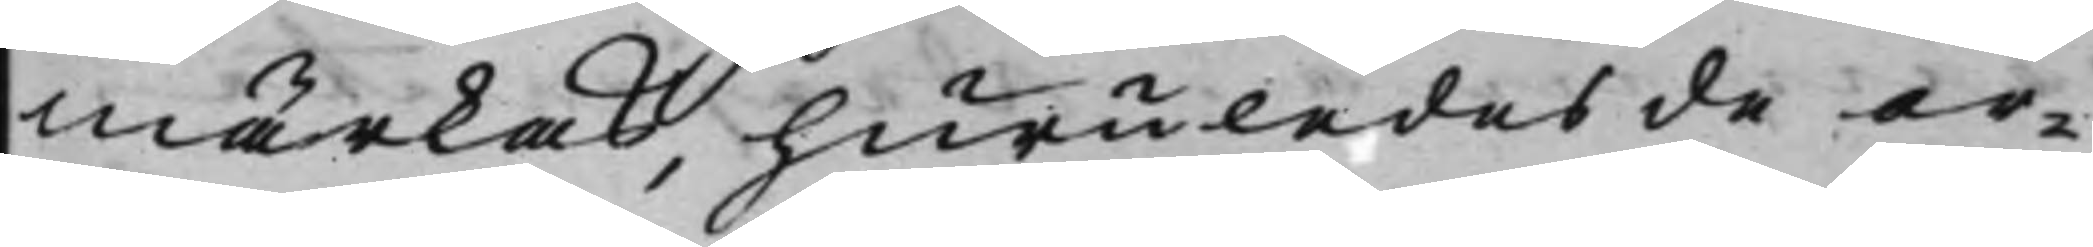märkas, huruledes de or¬
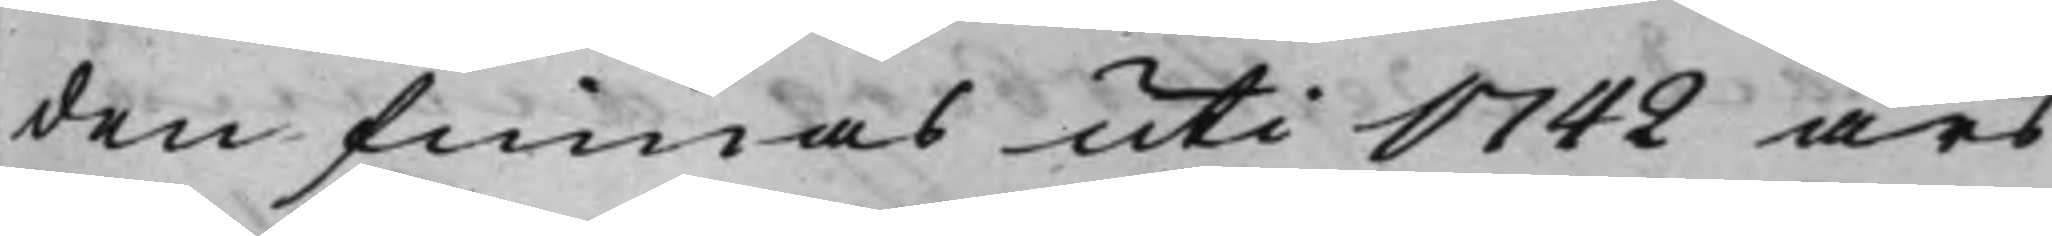den finnas uti 1742 års
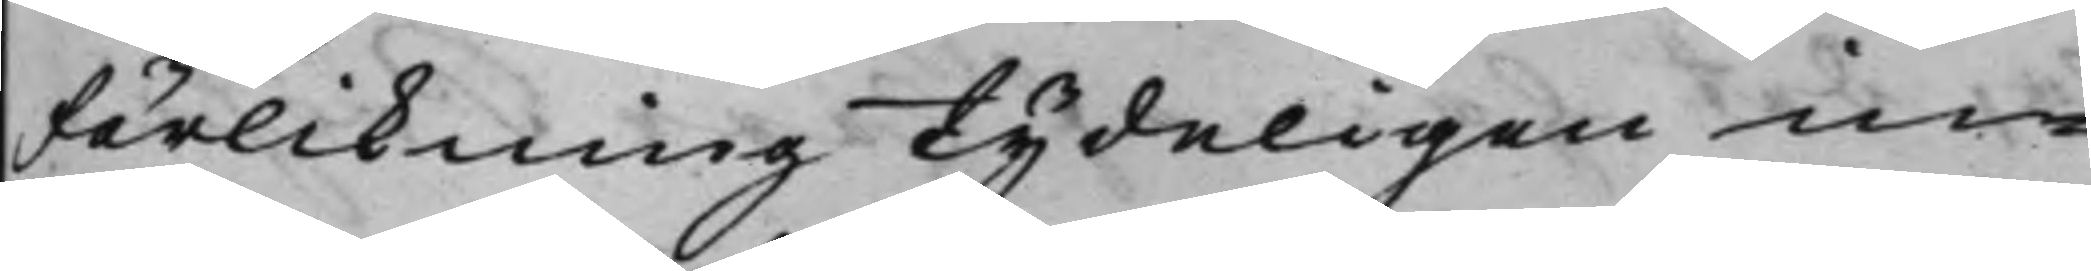förlikning tydeligen in¬
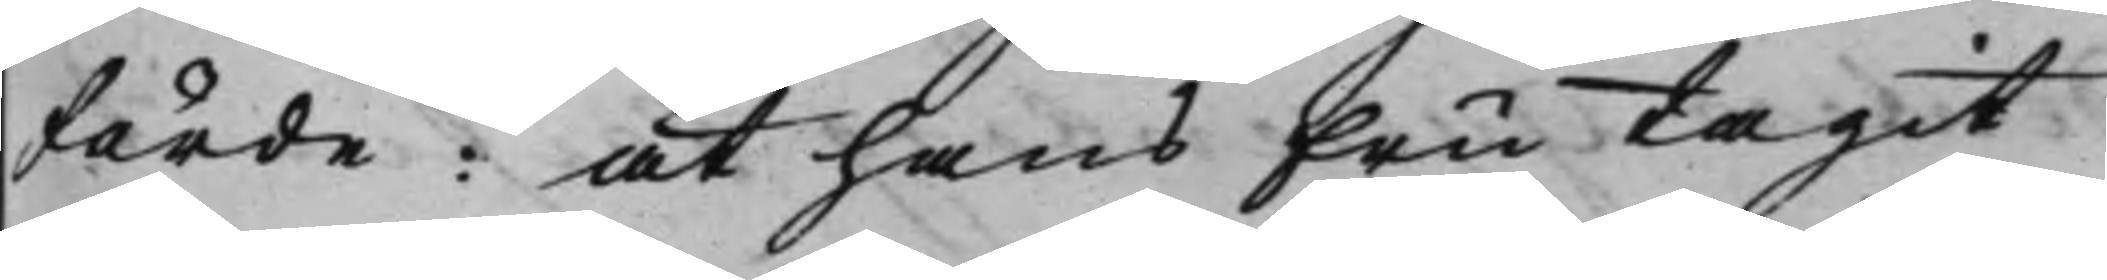förde: at hans Fru tagit
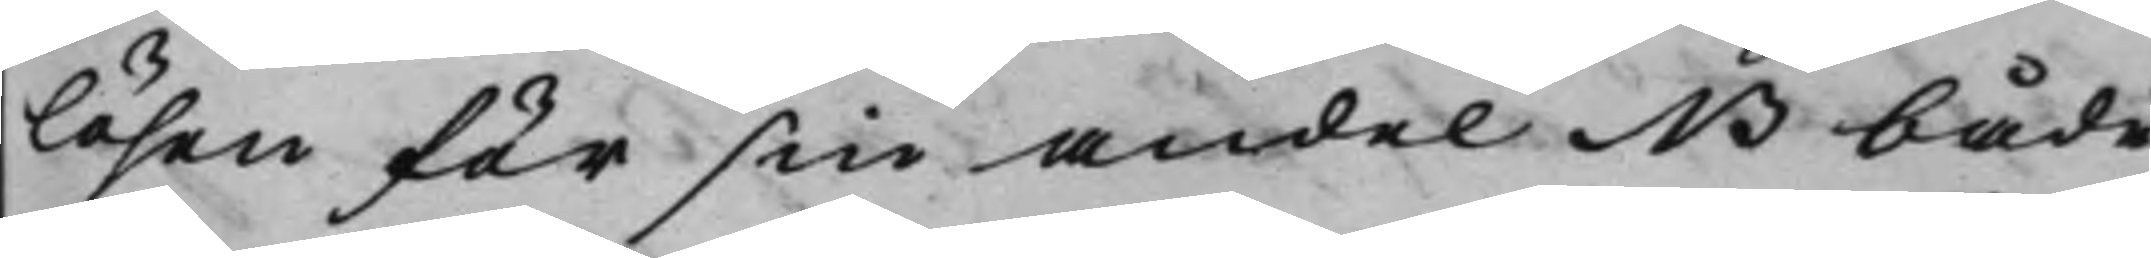lösen för sin andel NB både
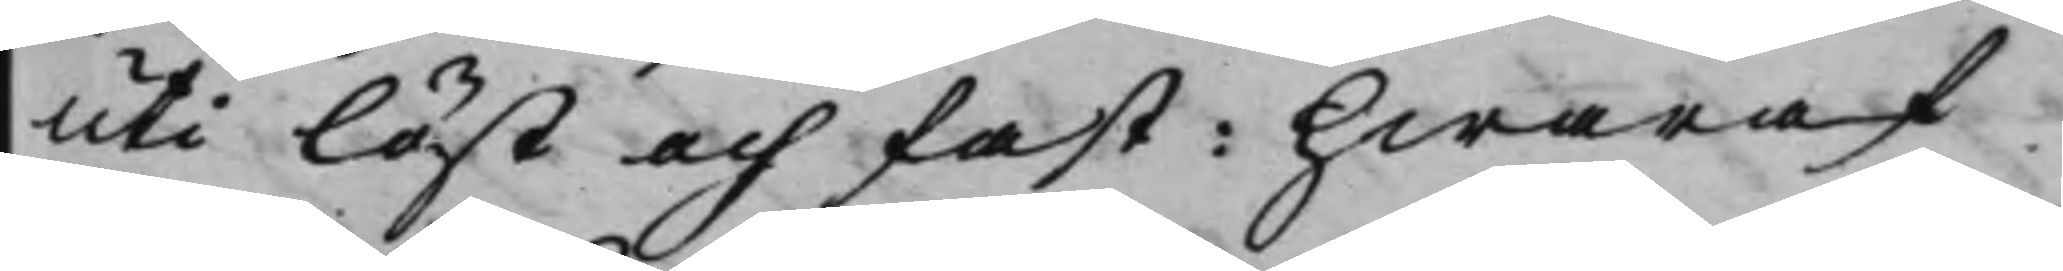uti löst och fast: hwaraf
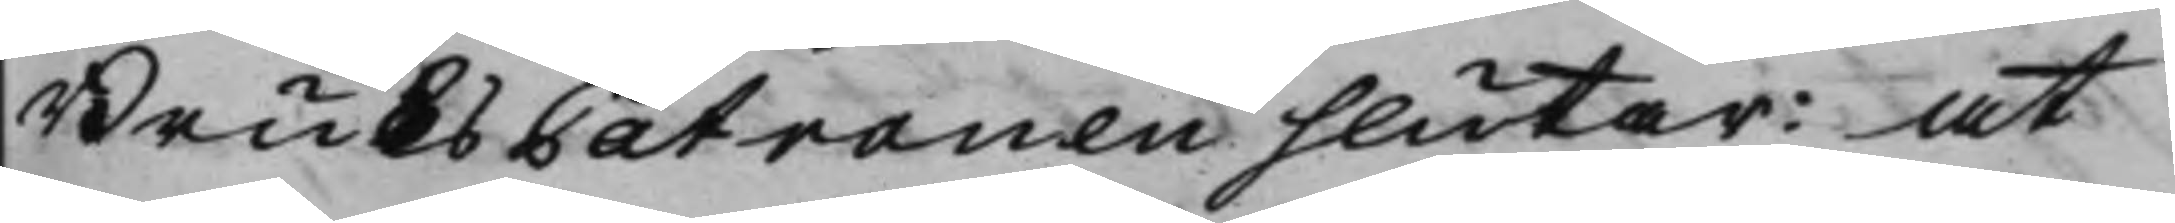BruksPatronen slutar: at
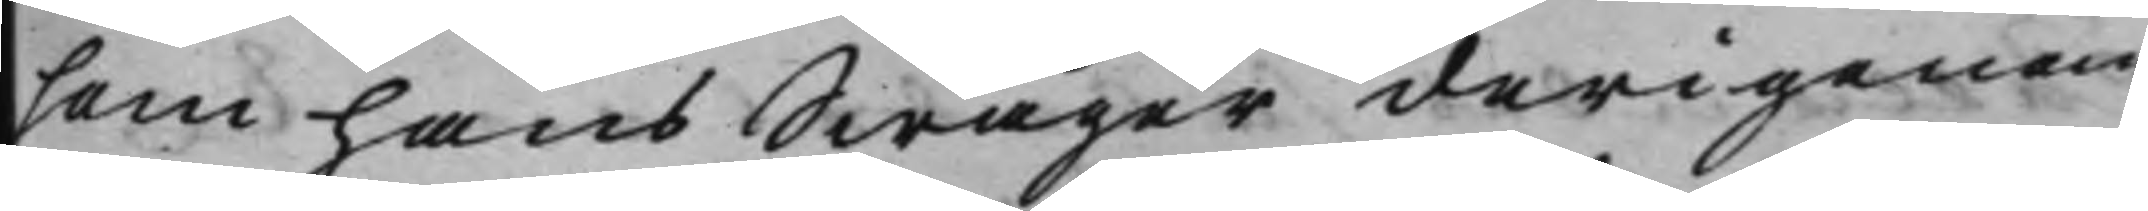som hans Swåger derigenom
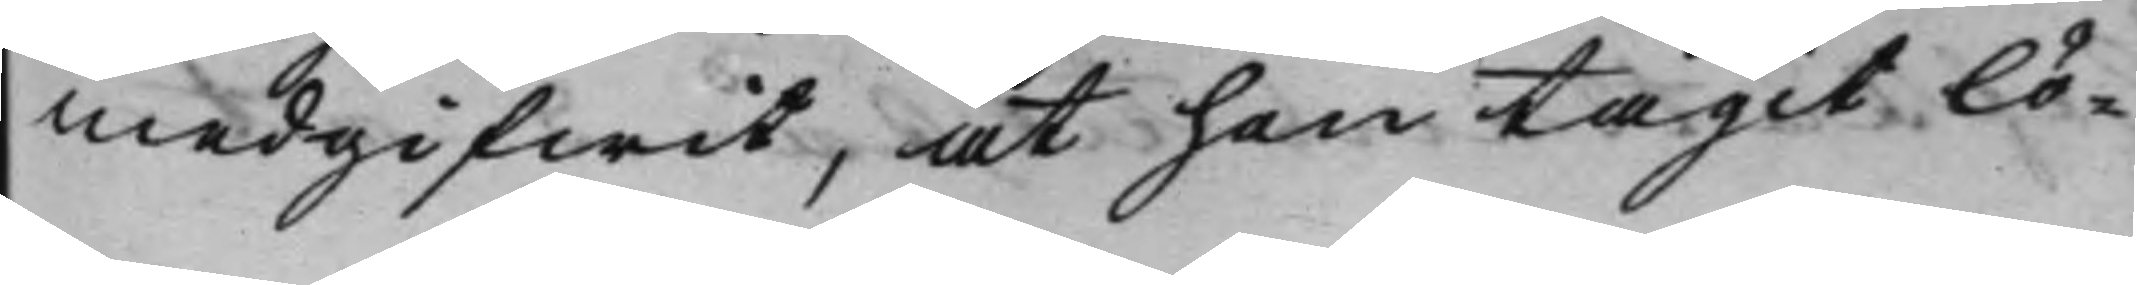medgifwit, at han tagit lö¬
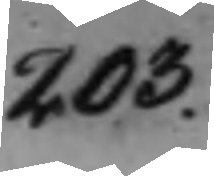203.
